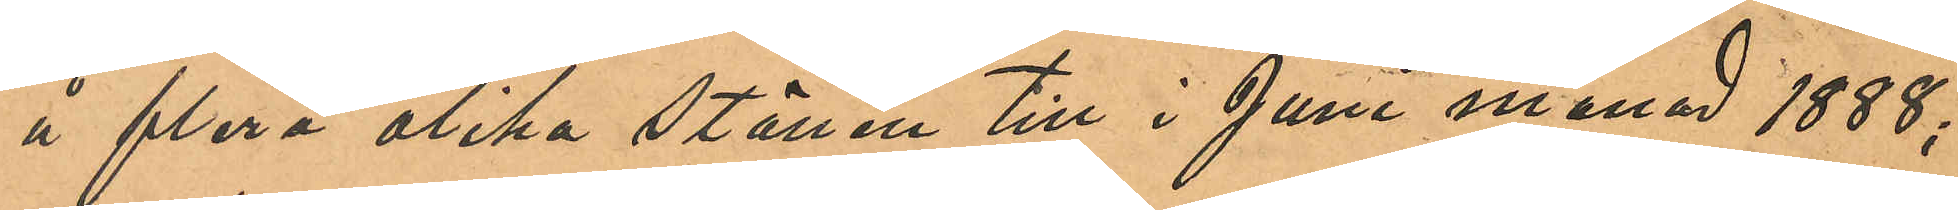å flera olika ställen till i Juni månad 1888;
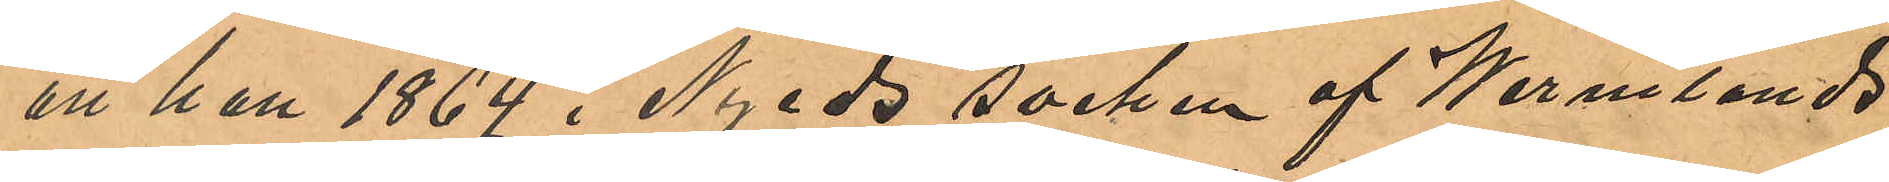att han 1864 i Nyeds socken af Wermlands
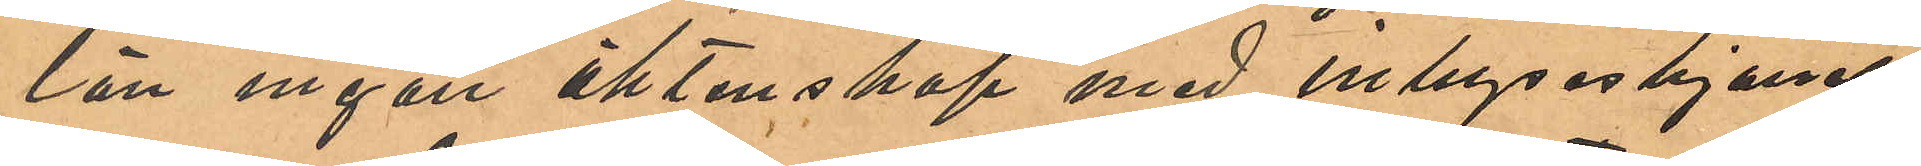län ingått äktenskap med inhyseshjonet
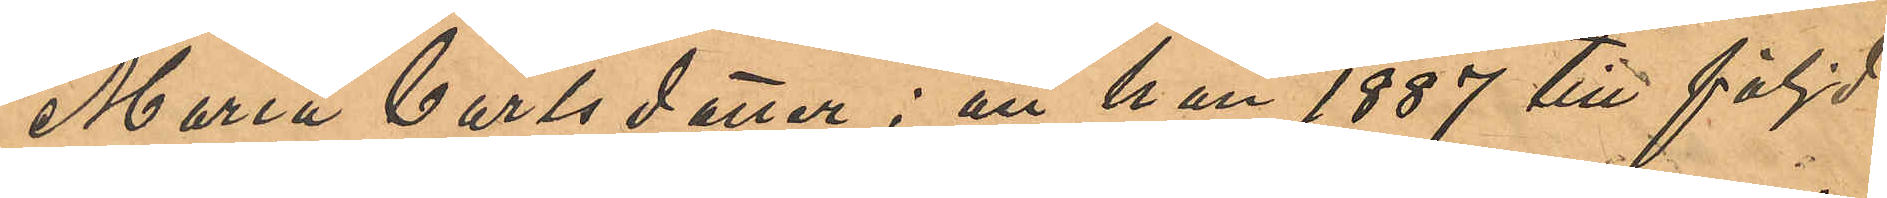Maria Carlsdotter; att han 1887 till följd
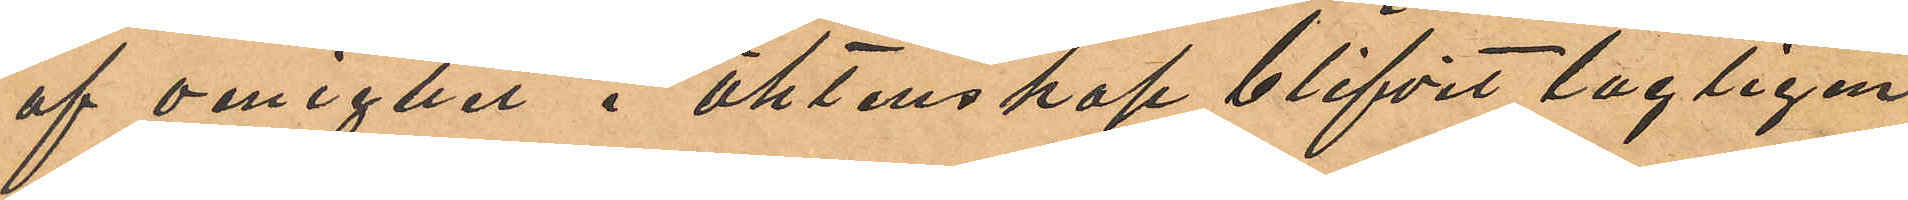af oenighet i äktenskap blifvit lagligen
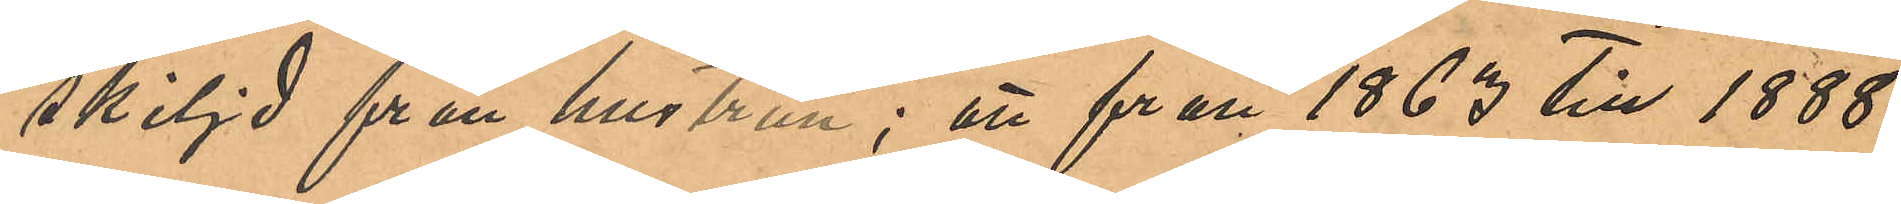skiljd från hustrun; att från 1863 till 1888
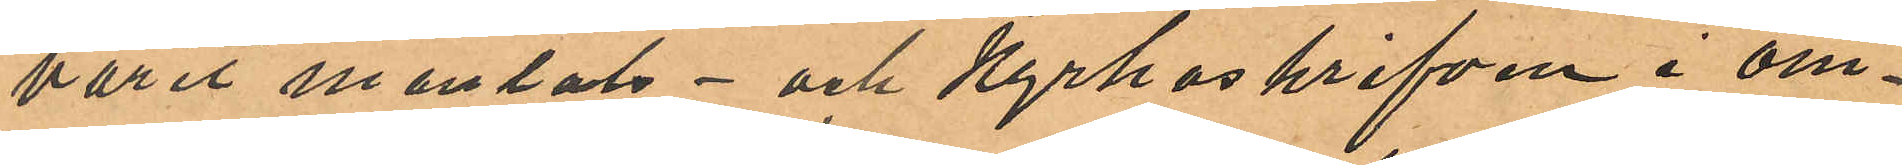varit mantals- och kyrkoskrifven i om¬
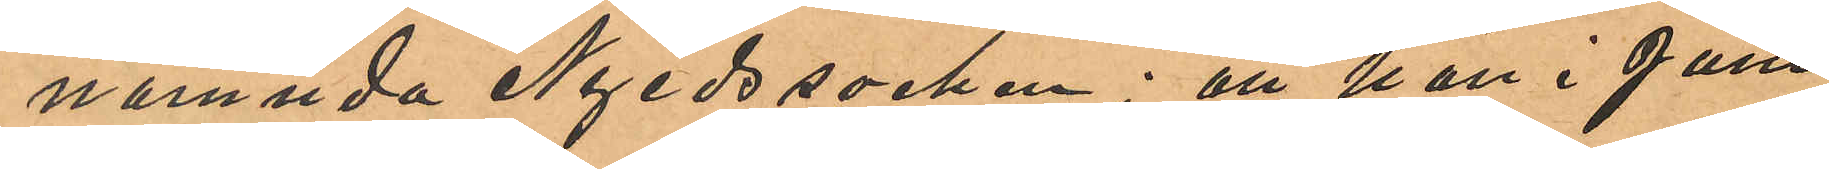nämnda Nyeds socken; att han i Juni
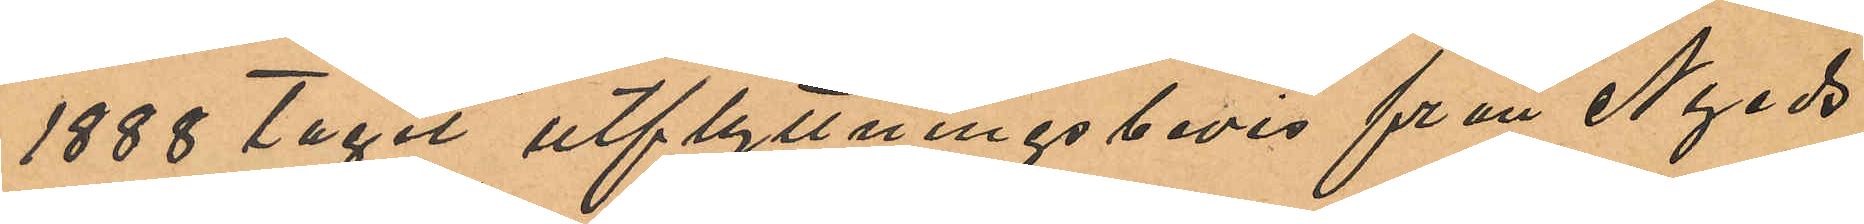1888 tagit utflyttningsbevis från Nyeds
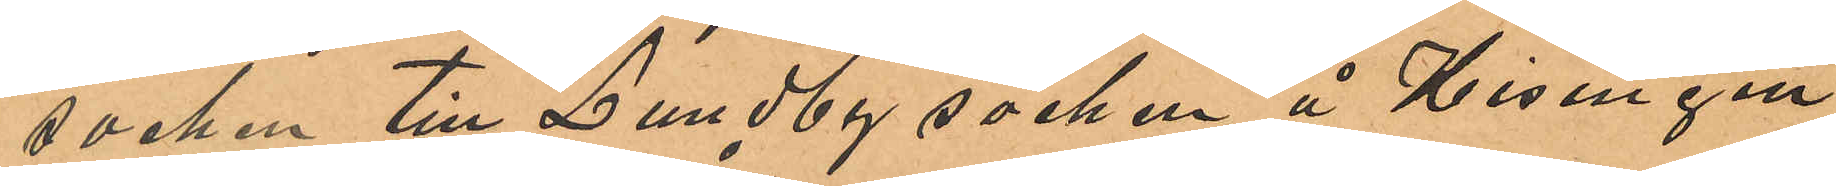socken till Lundby socken å Hisingen
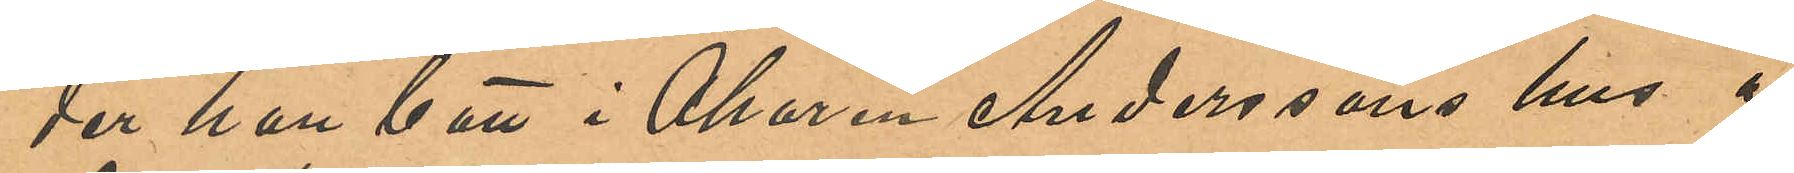der han bott i Åkaren Anderssons hus å
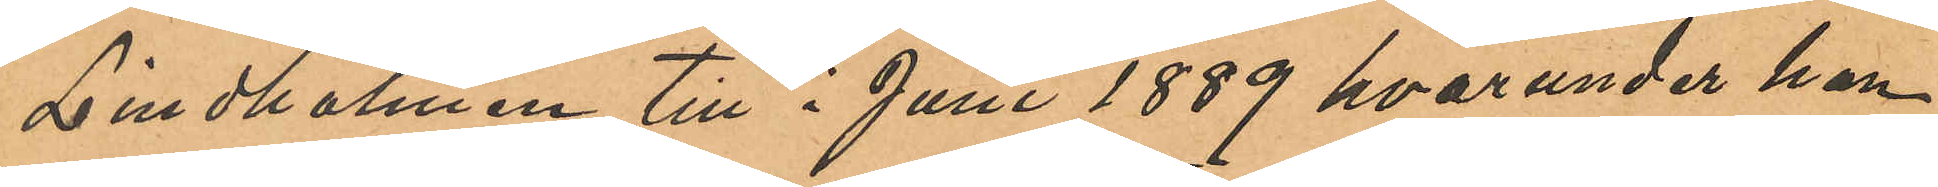Lindholmen till i Juni 1889 hvarunder han
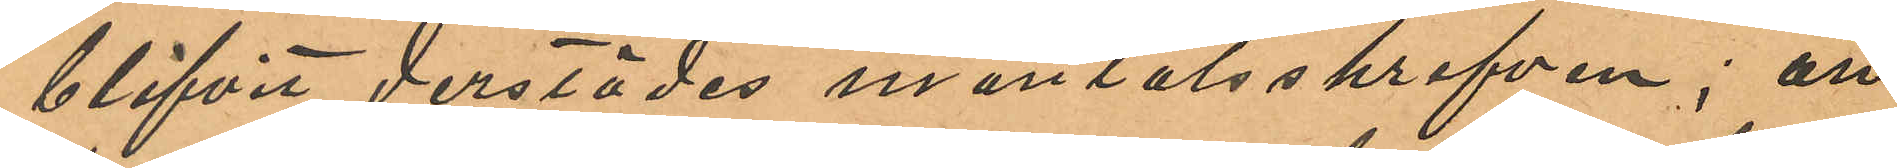blifvit derstädes mantalsskrifven; att
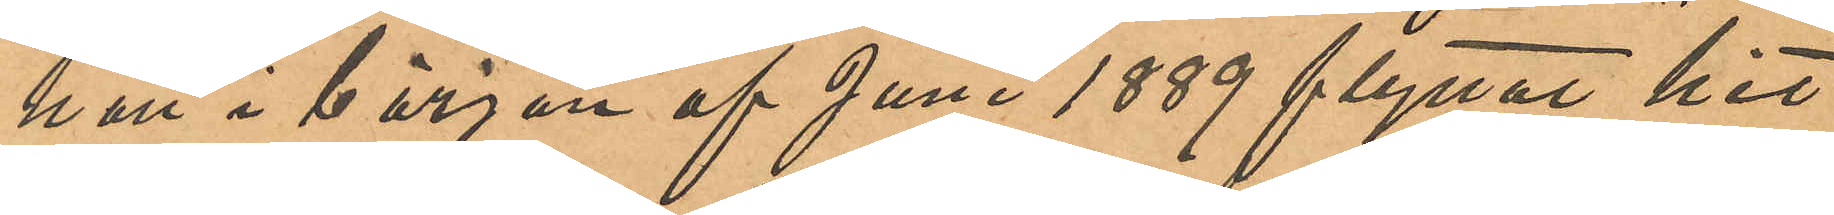han i början af Juni 1889 flyttat hit
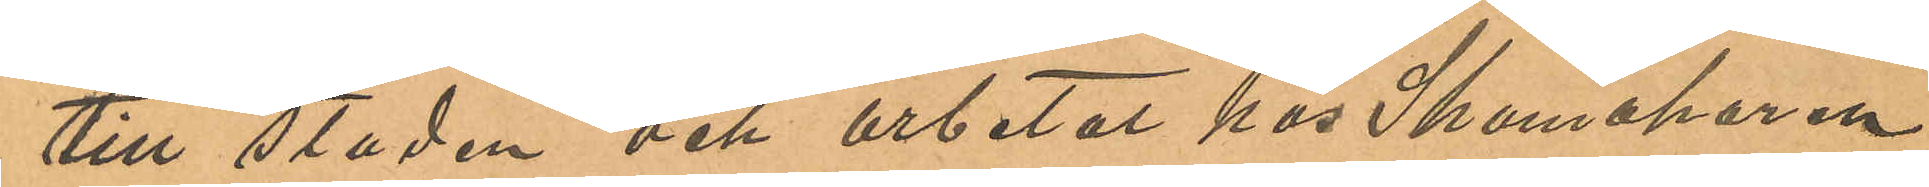till staden och arbetat hos Skomakaren
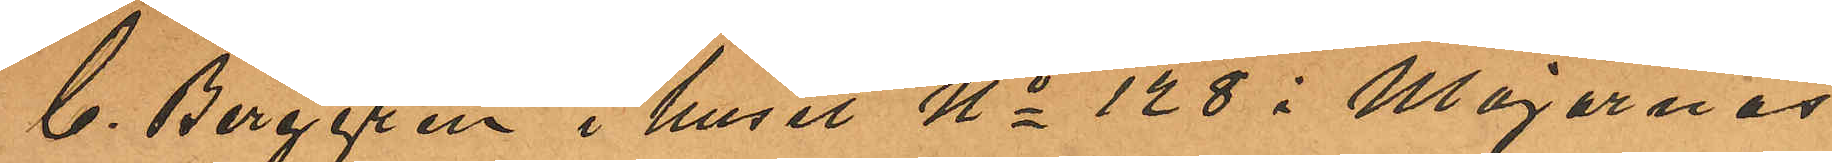C. Berggren i huset No 128 i Majornas
